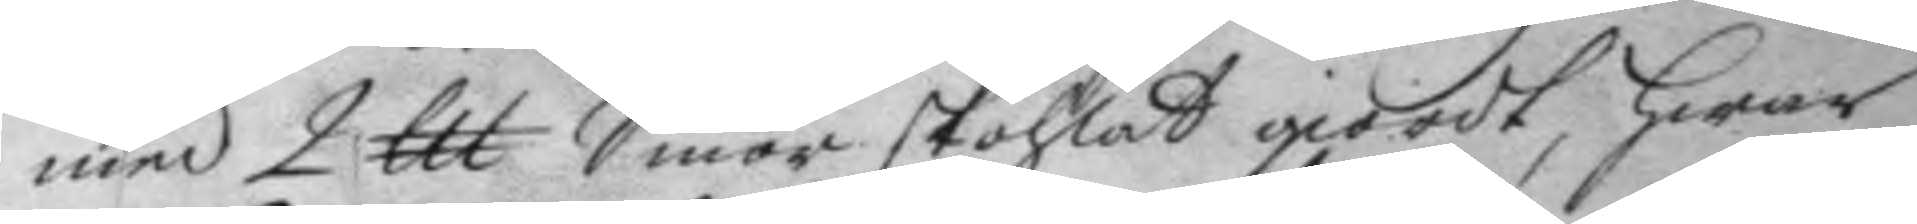med 2 skp Smör skohlat giordt, hwar
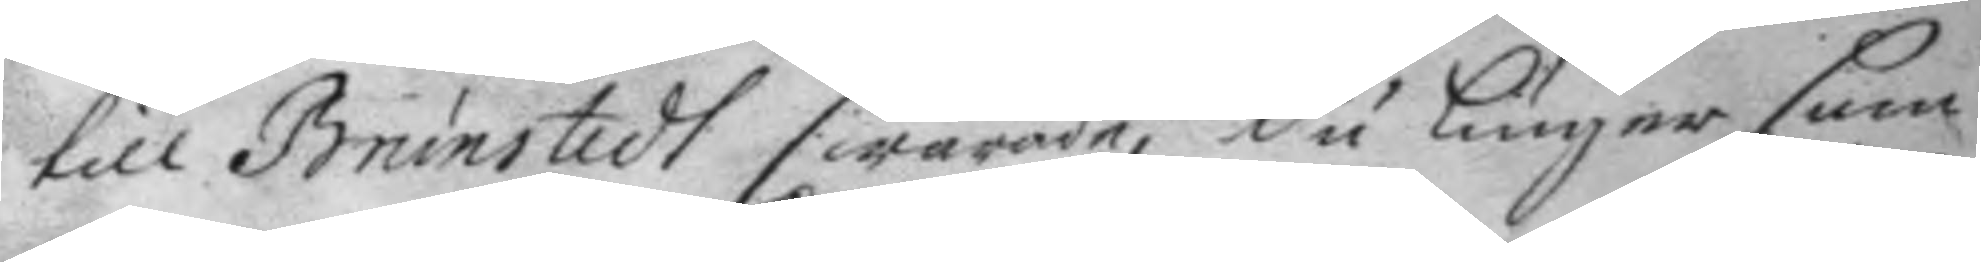till Brunstedt swarade, du liuger som
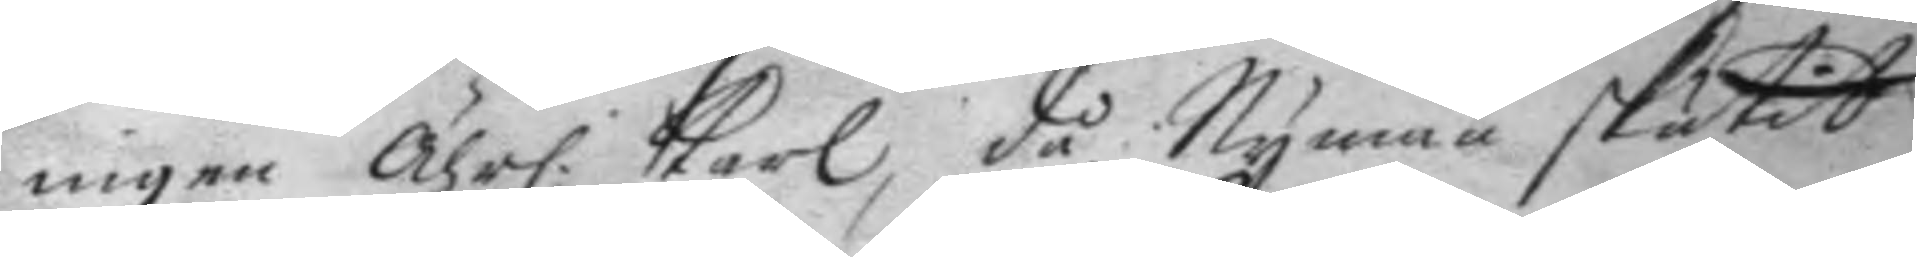ingen Ährl. karl, då Nyman skutit
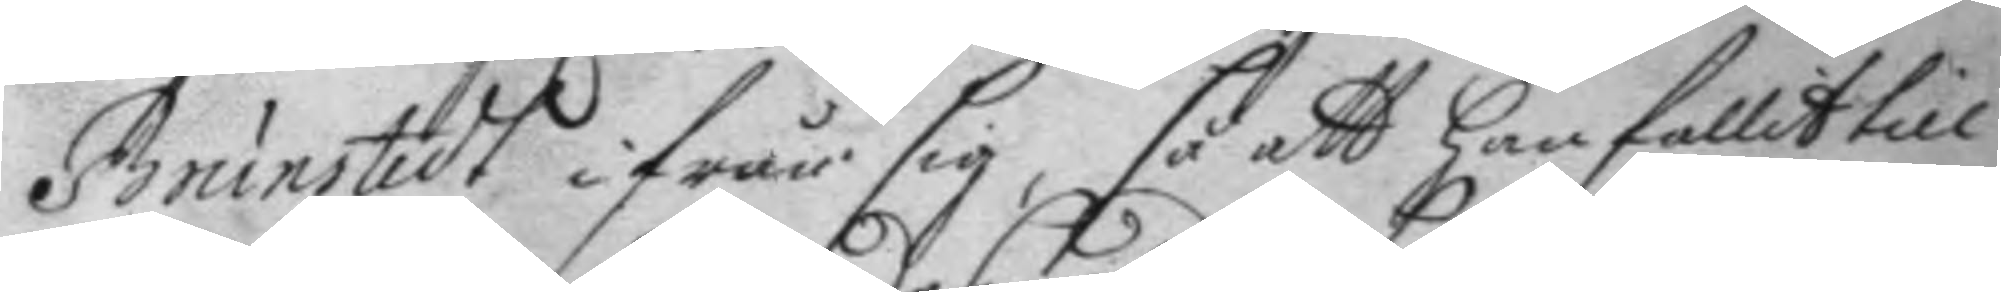Brunstedt ifrån sig, så att han fallit till
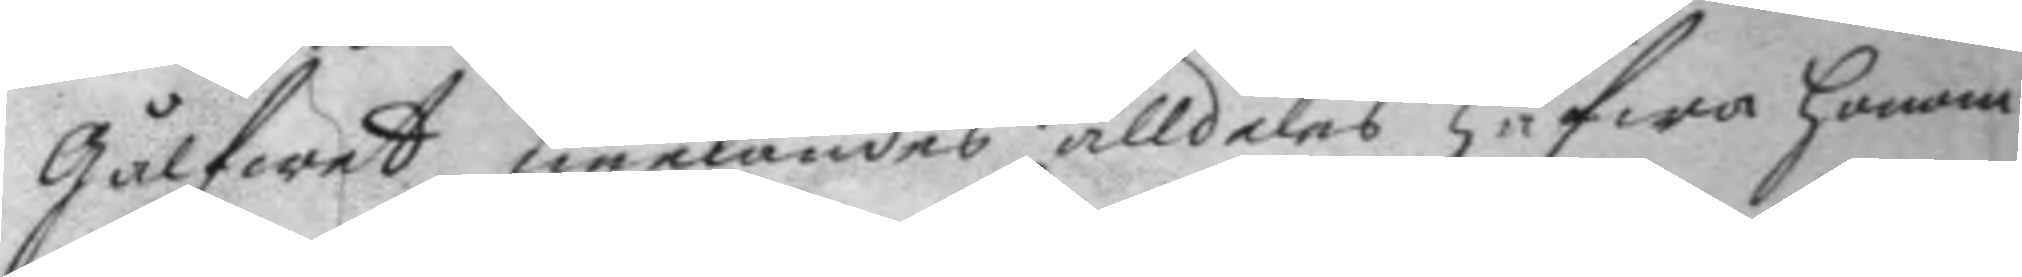gålfwet, neekandes alldeles hafwa honom
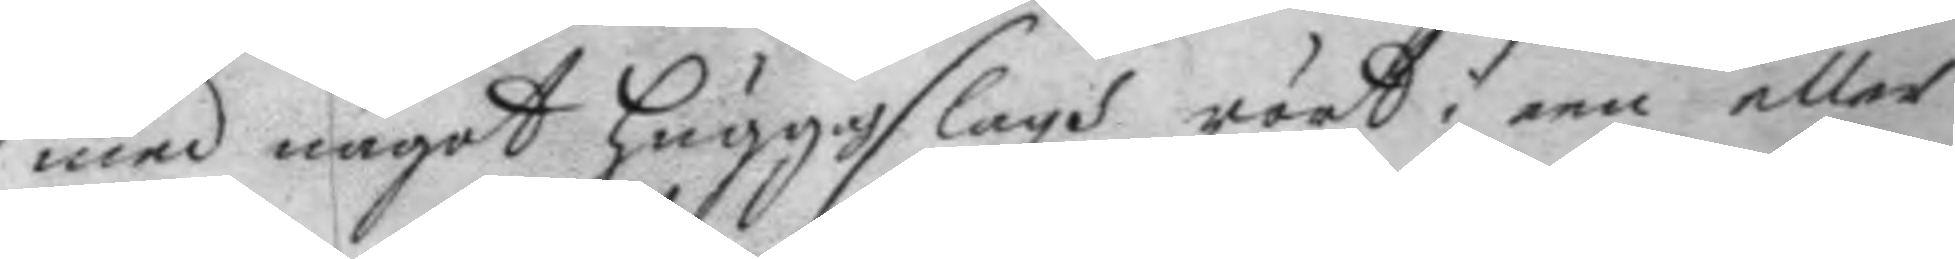med något hugg och slagh rört i een eller
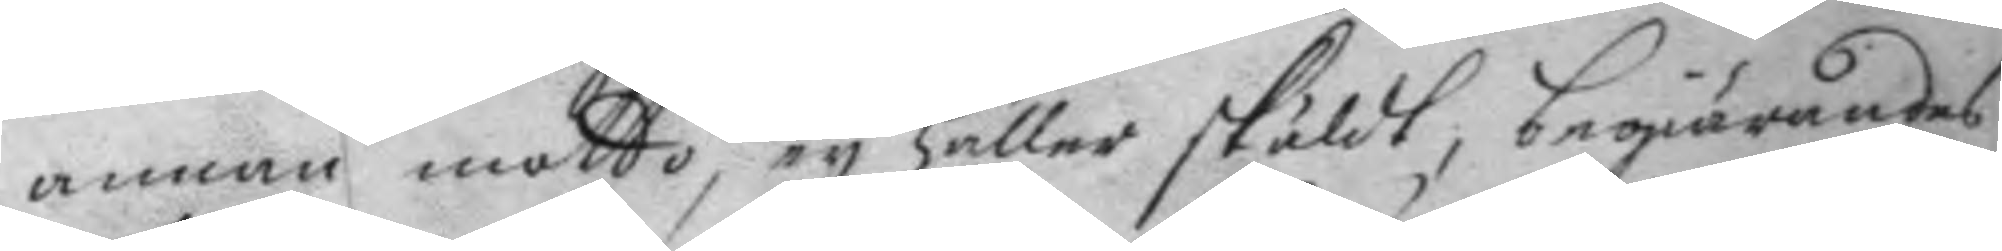annan motto, ey häller skäldt, begiärandes
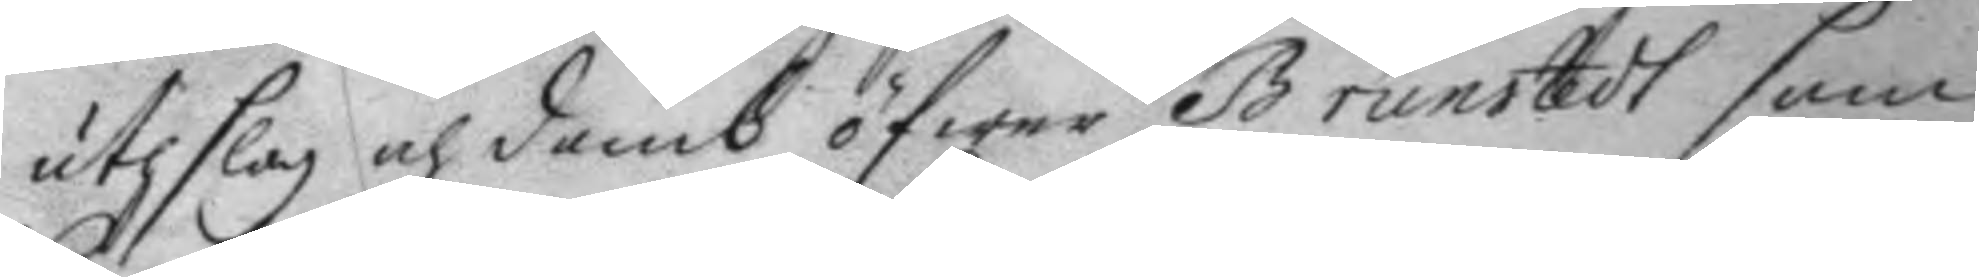uthslag och domb öfwer Brunstedt som
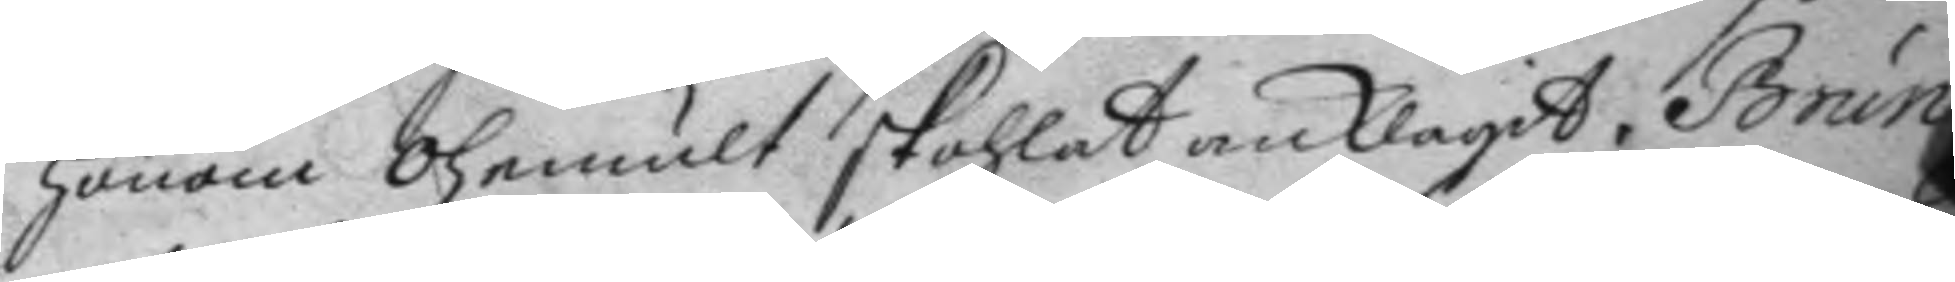honom ohemult skohlat anklagit, Brun¬
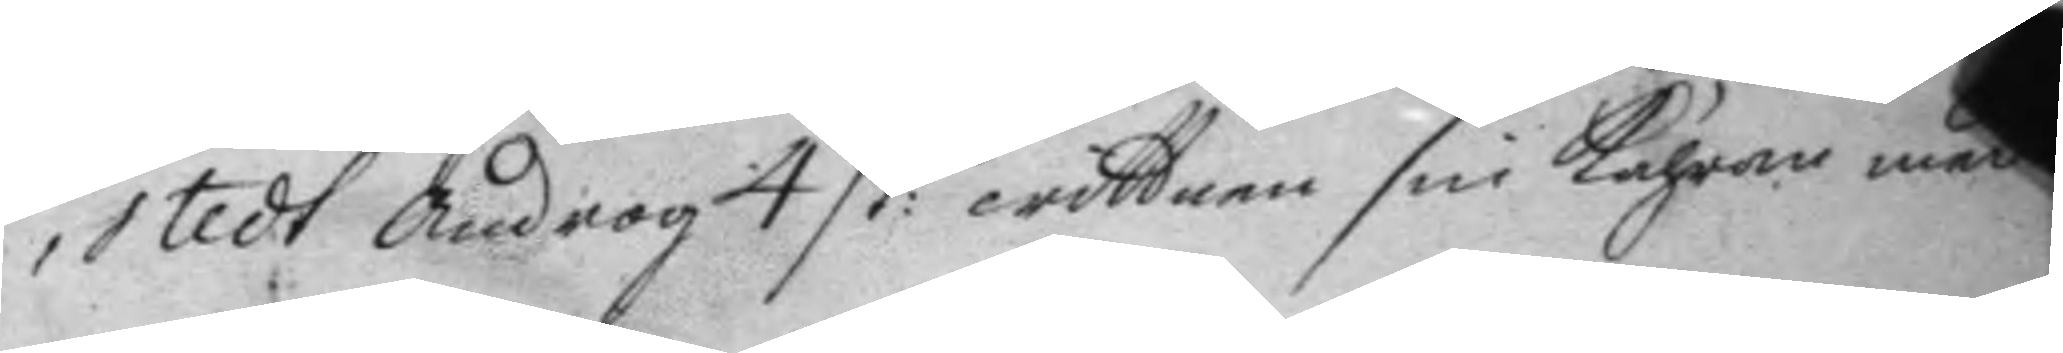stedt androg 4 st. wittnen sin kähran må
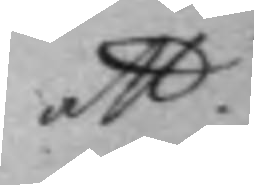att
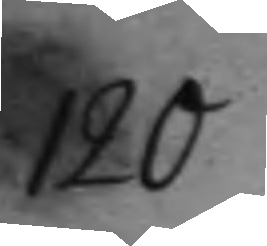120
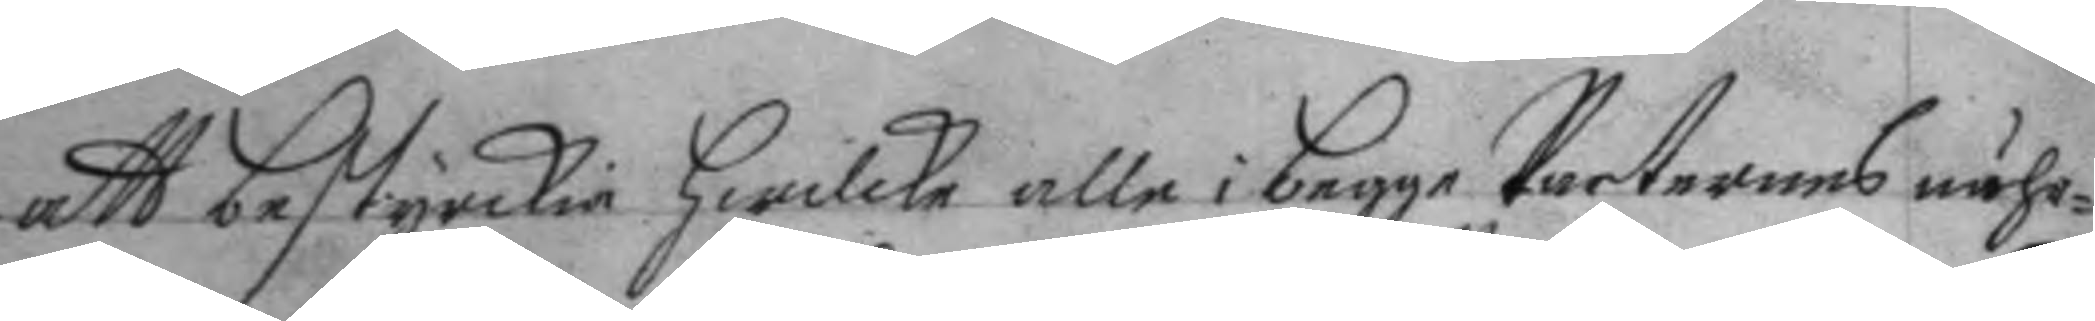att bestyrkia hwilka alle i begge Parternes nähr¬
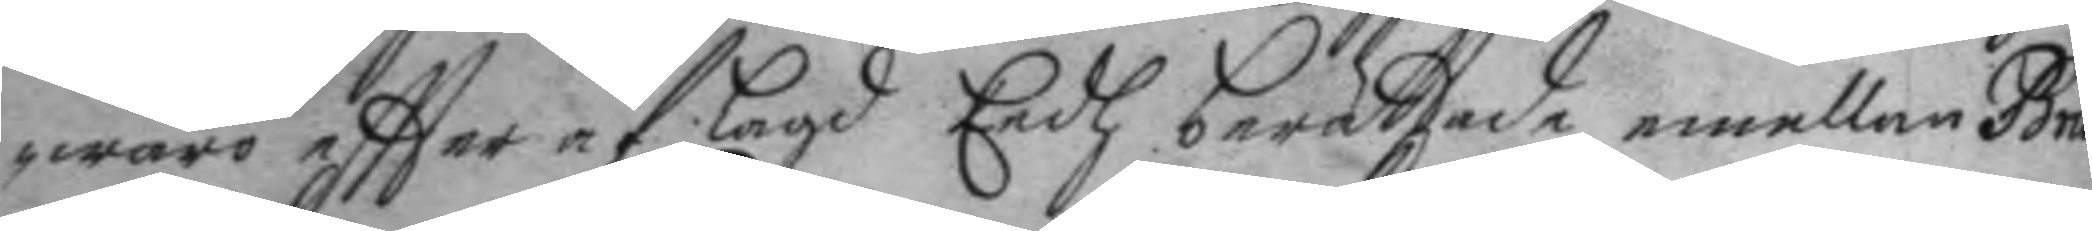waro eftter af lagd Eedh berättade emellan Brun¬
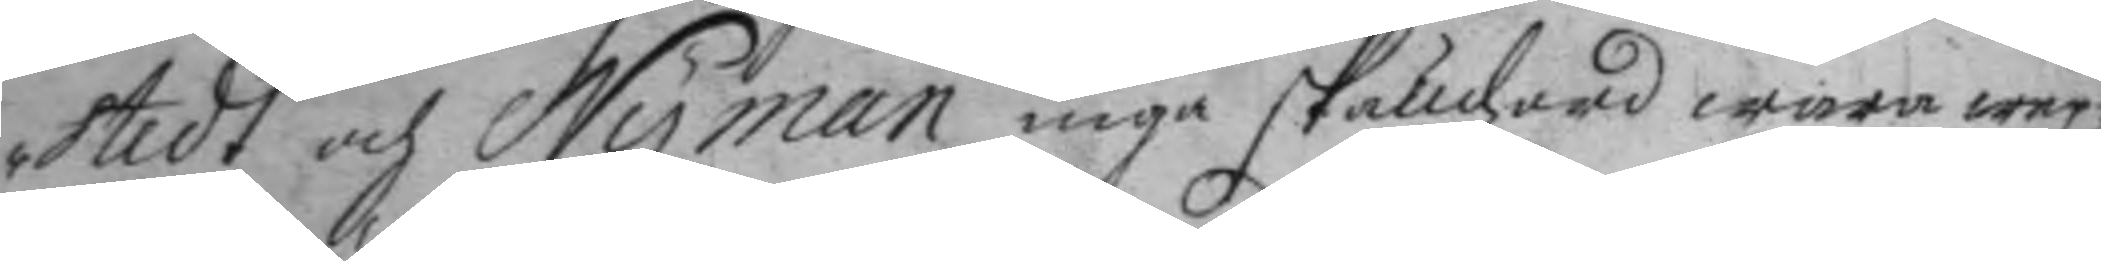stedt och Nyman inga skälldzord wara wex¬
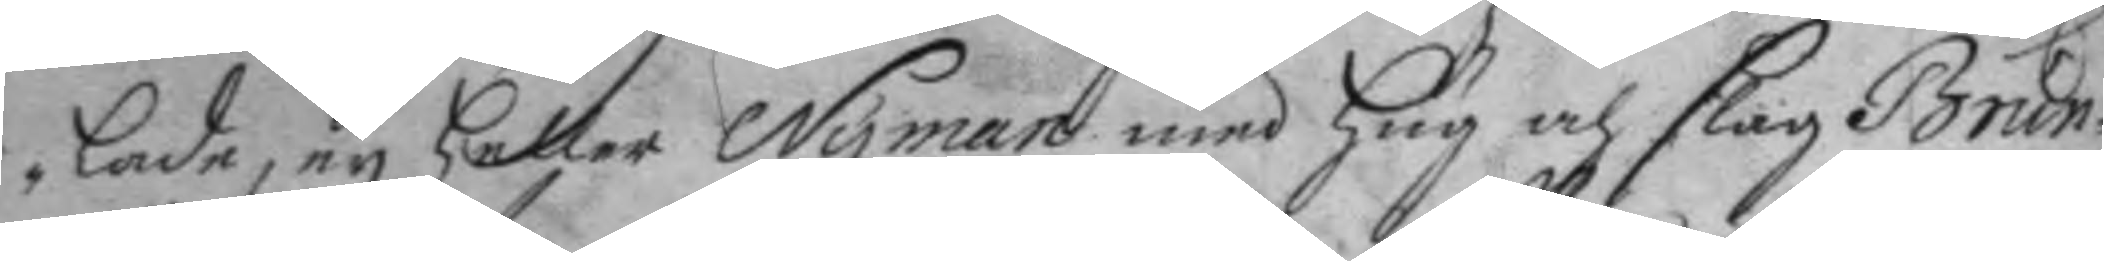lade, ey heller Nyman med hug och slag Brun¬
